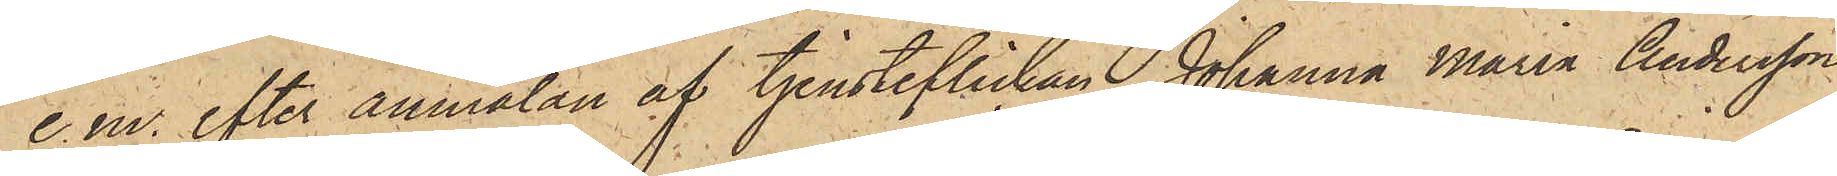e. m. efter anmälan af tjensteflickan Johanna Maria Andersson,
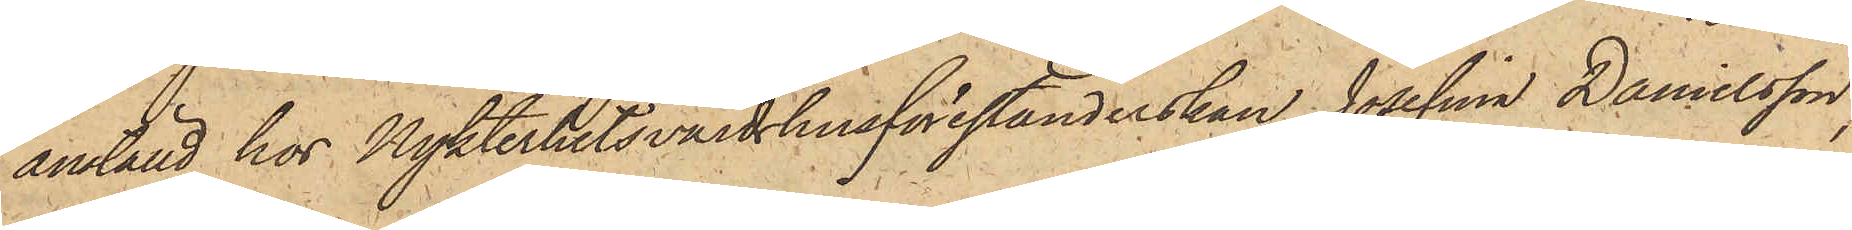anställd hos Nykterhetsvärdshusförestånderskan Josefina Danielsson,
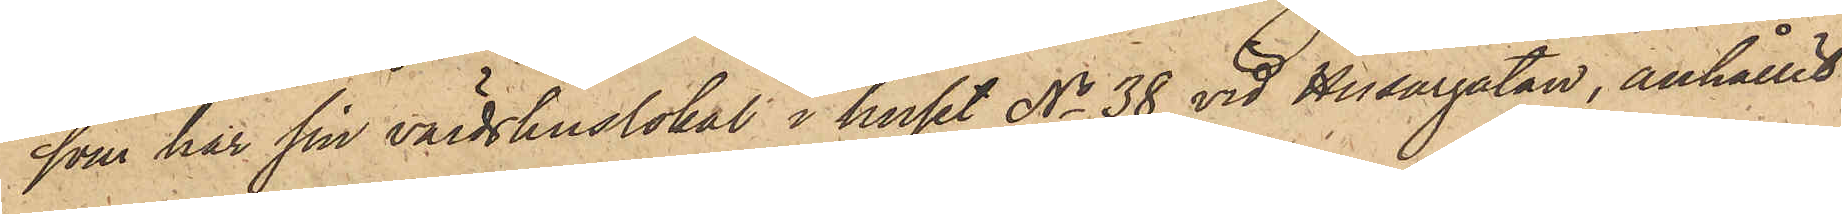som har sin värdshuslokal i huset No 38 vid Husargatan, anhållit
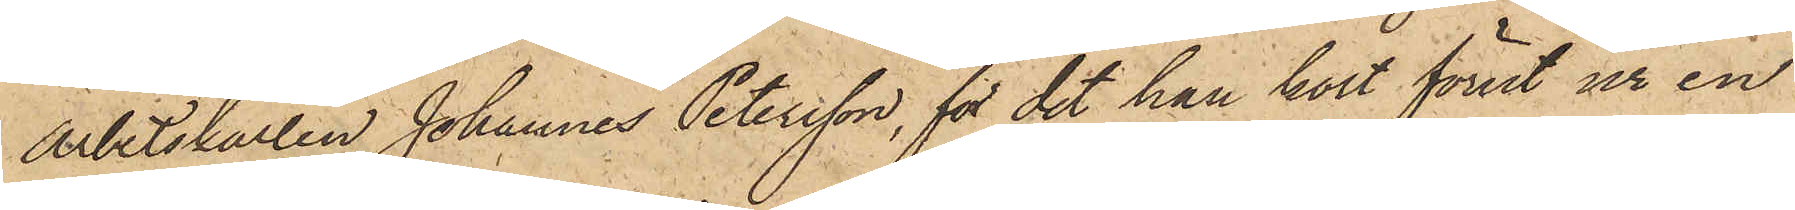Arbetskarlen Johannes Petersson, för det han kort förut ur en
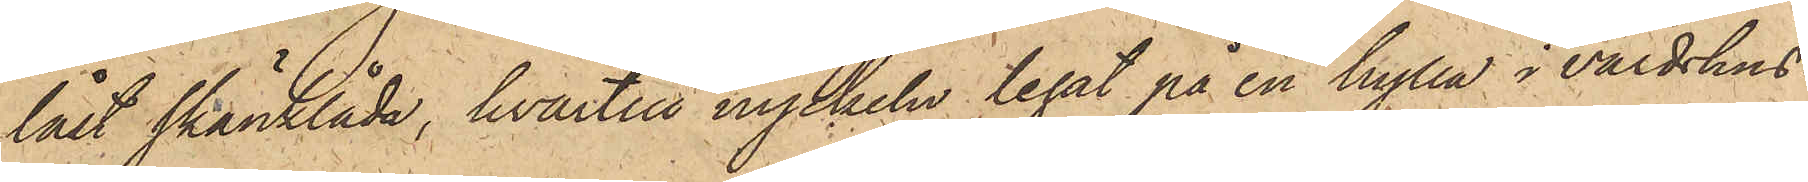låst skänklåda, hvartill nyckeln legat på en hylla i värdshus¬
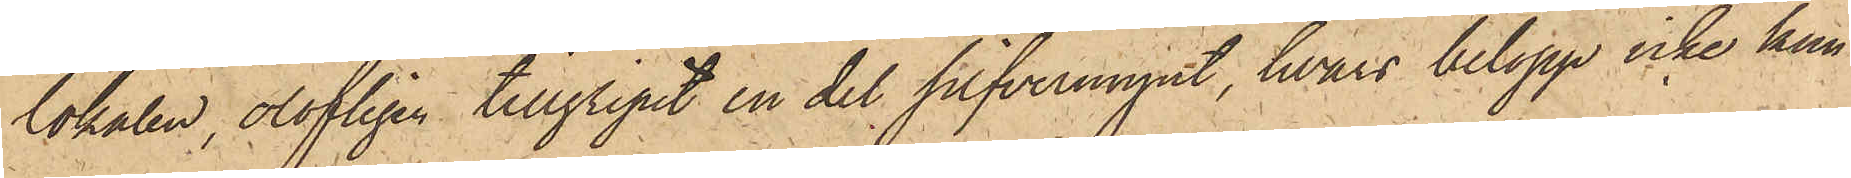lokalen, olofligen tillgripit en del silfvermynt, hvars belopp icke kun¬
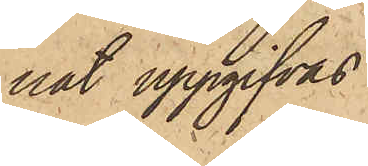nat uppgifvas.
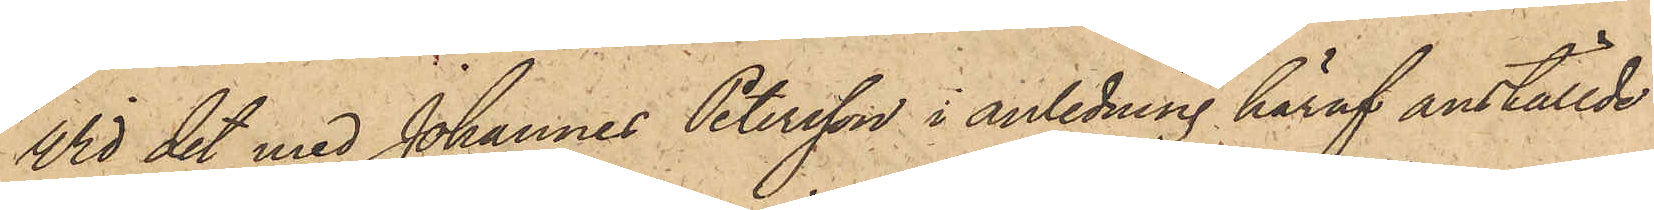Vid det med Johannes Petersson i anledning häraf anställde
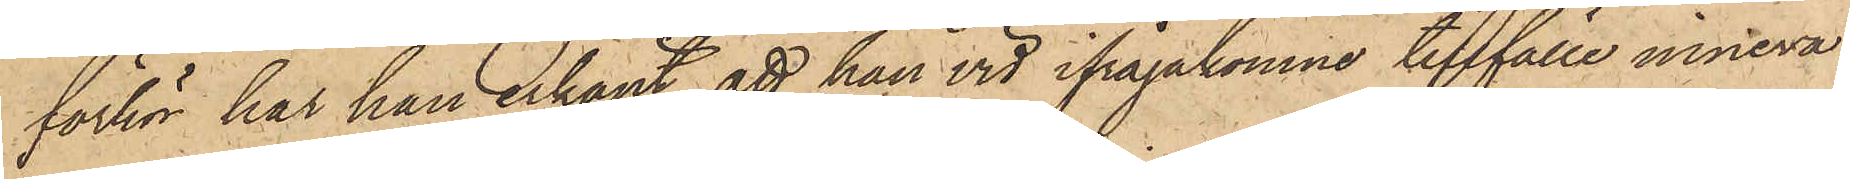förhör har han erkänt, att han vid ifrågakomne tillfälle inneva¬
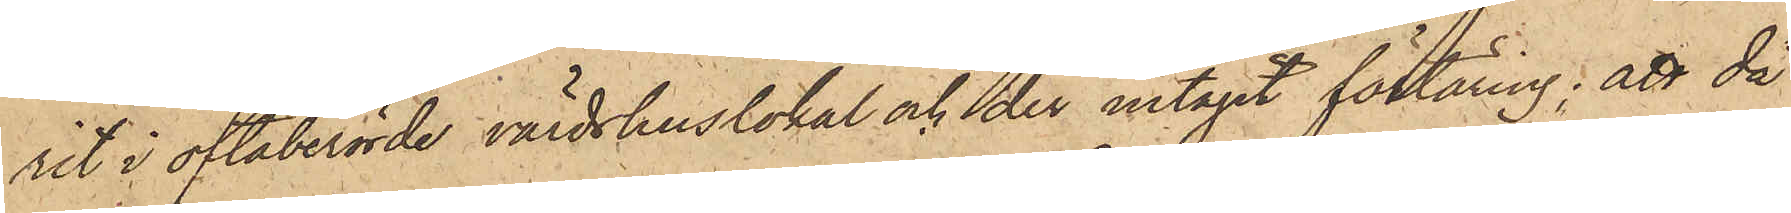rit i oftaberörde värdshuslokal och der intagit förtäring; att då
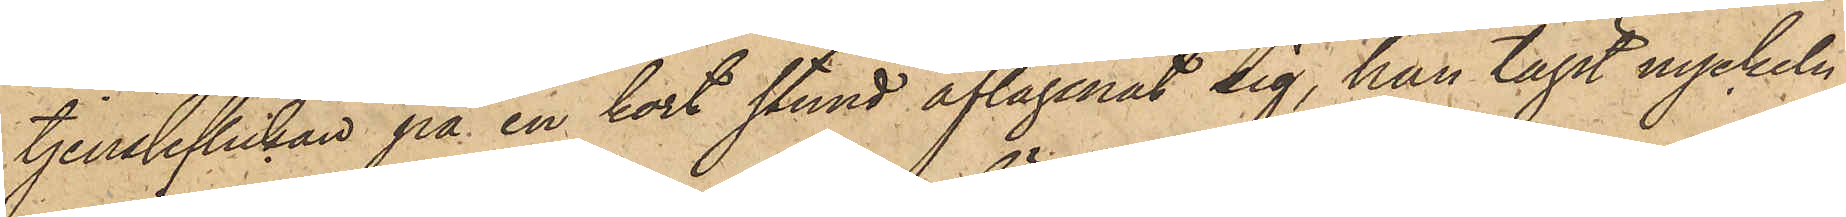tjensteflickan på en kort stund aflägsnat sig, han tagit nyckeln
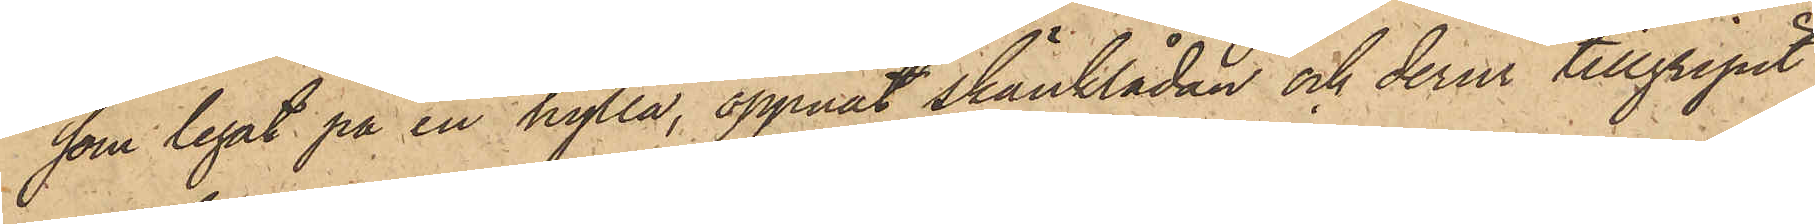som legat på en hylla, öppnat skänklådan och derur tillgripit
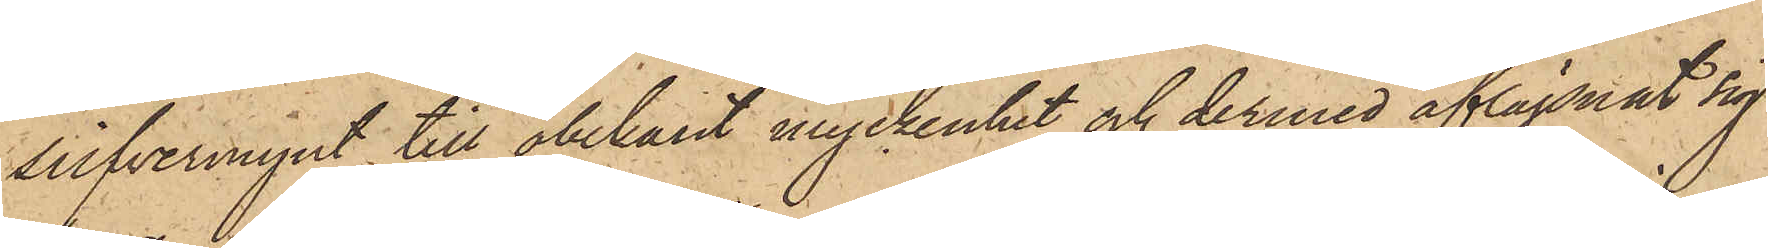silfvermynt till obekant myckenhet och dermed aflägsnat sig
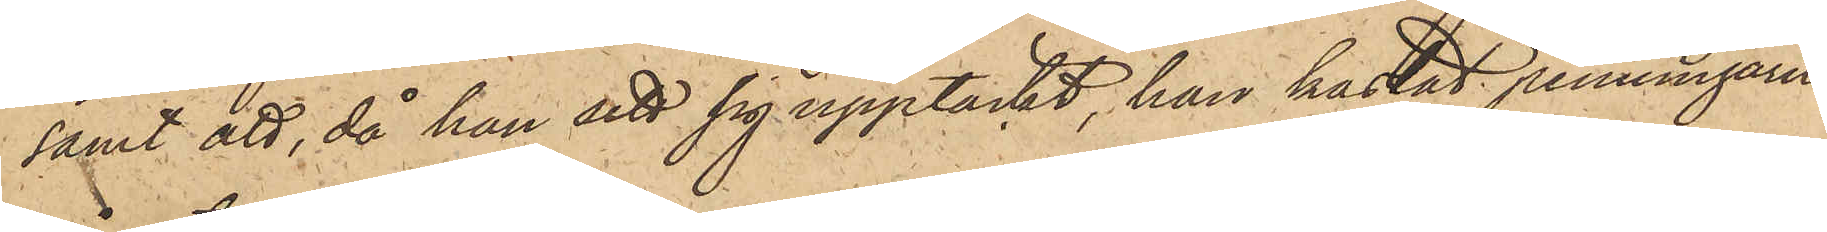samt att, då han sett sig upptäckt, han kastat penningarne
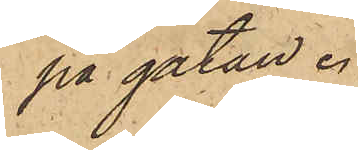på gatan.
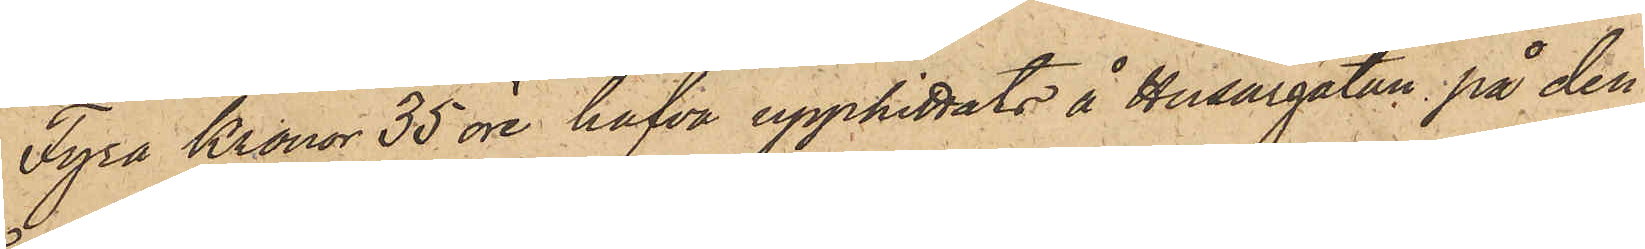Fyra Kronor 35 öre hafva upphittats å Husargatan på den
